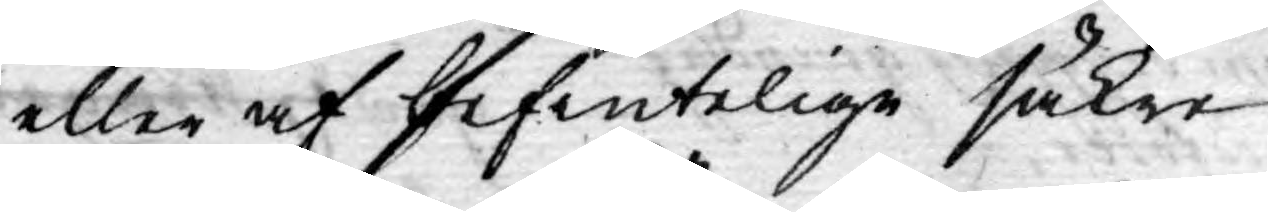eller af befintelige säkre
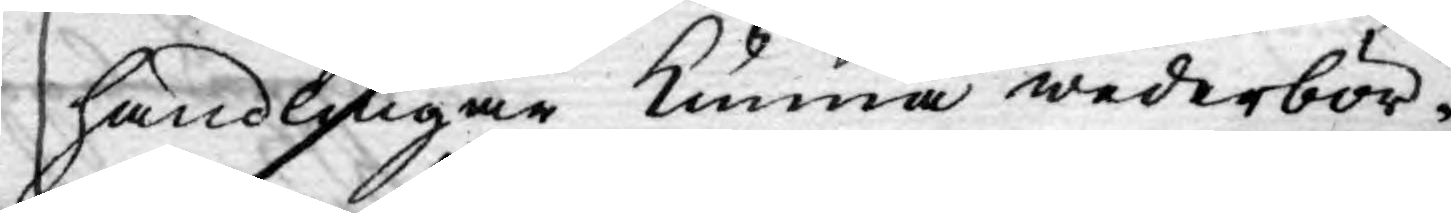handlingar kunna wederbör¬
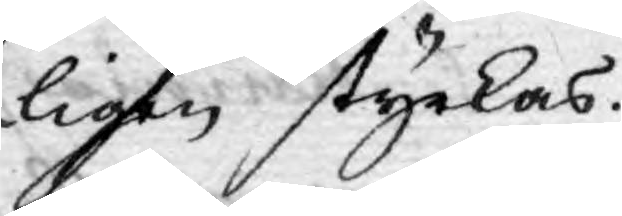ligen styrkas.
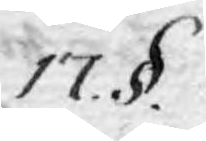17. §.
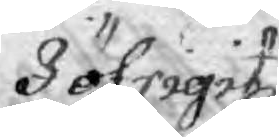I öfrigit
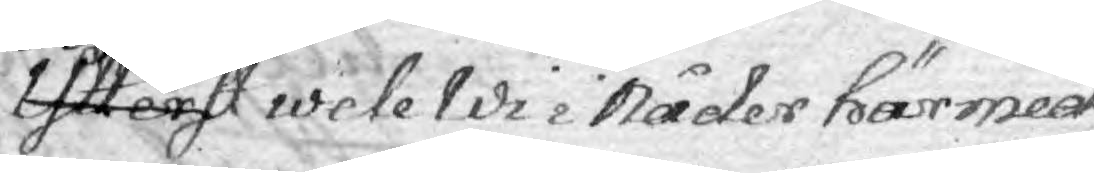Ytterst wele Wi i Nåder härmed
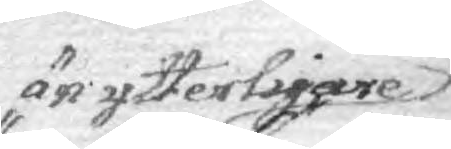än ytterligare
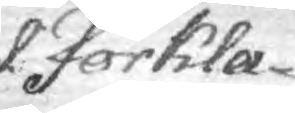förkla-
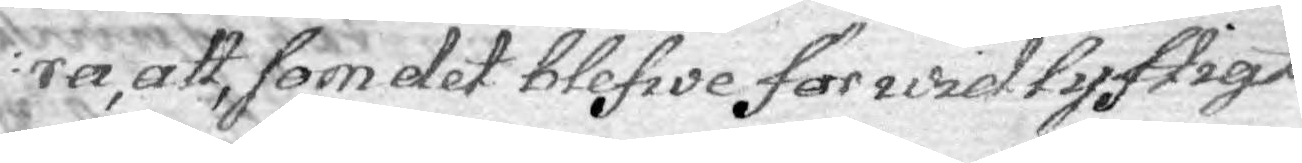ra att, som det blefwe för widlyftigt
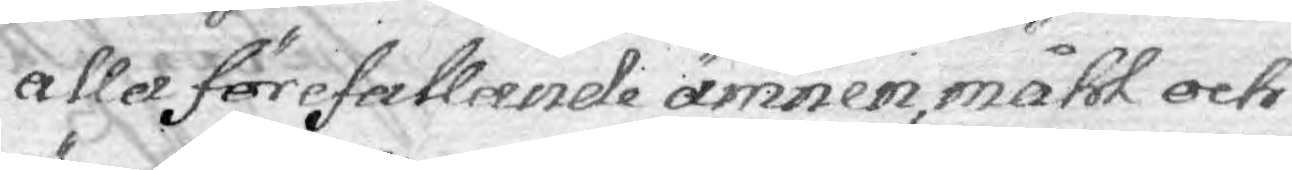alla förefallande ämnen, måhl och
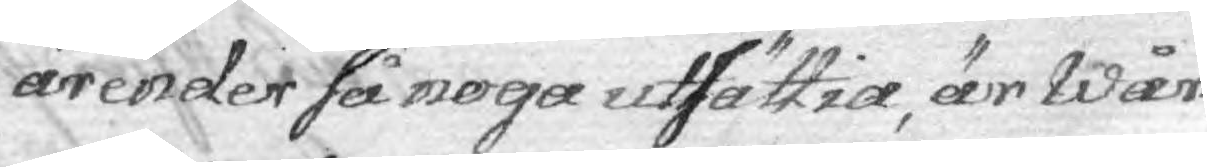ärender så noga utsättia, är Wår
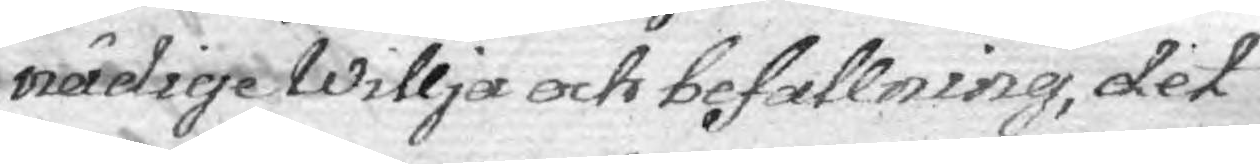nådige Willja och befallning, det
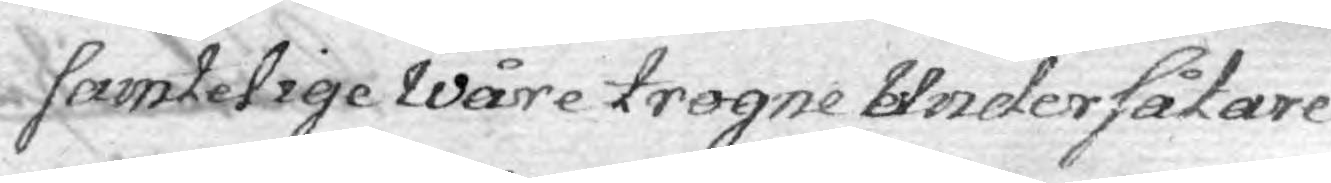samtelige Wåre trogne Undersåtare
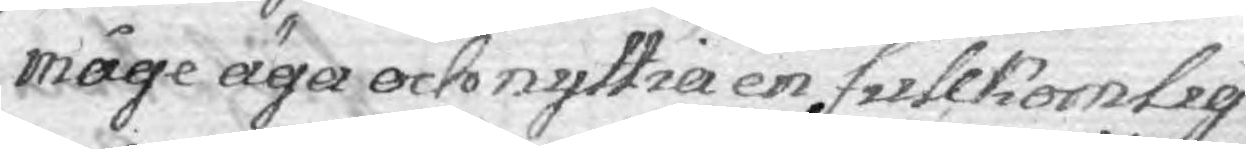måge äga och nyttia en fullkomlig
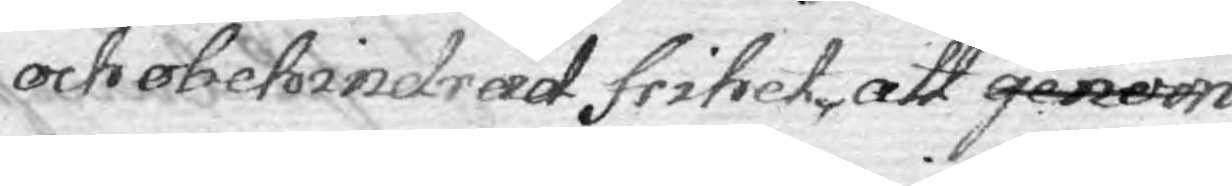och obehindrad frihet, att genom
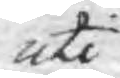uti
